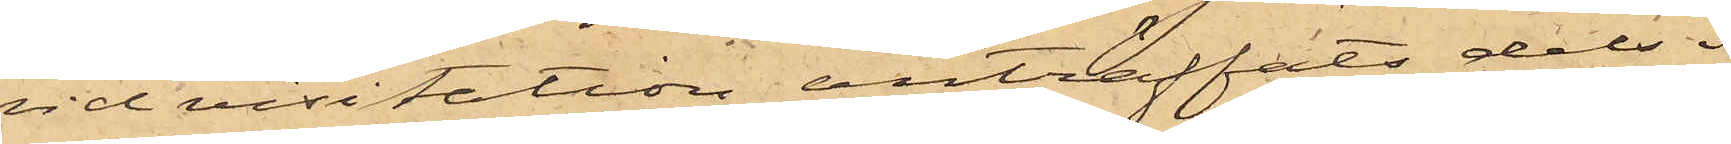vid visitation anträffats dels i
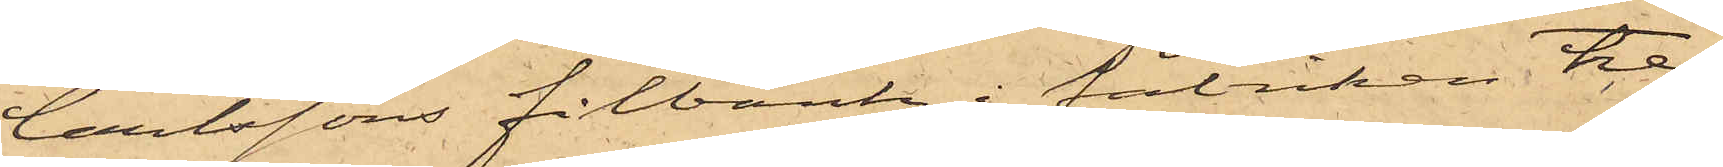Carlssons filbänk i fabriken tre
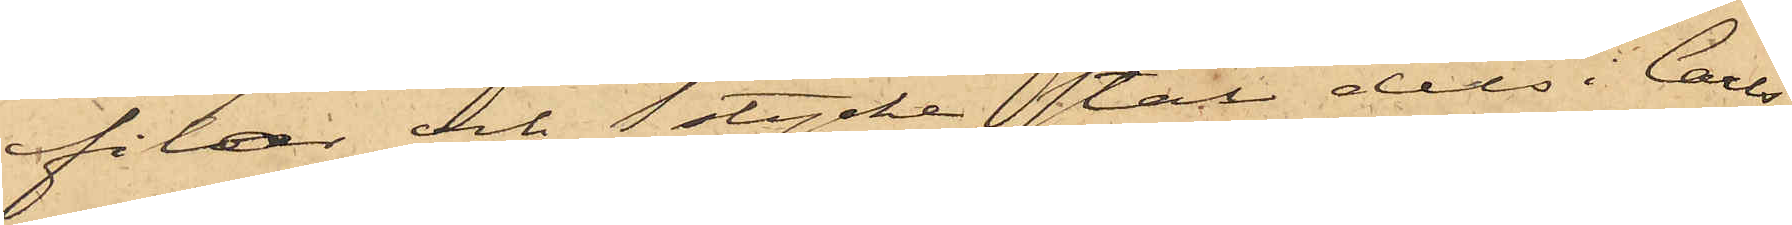filar och stycke stål dels i Carls¬
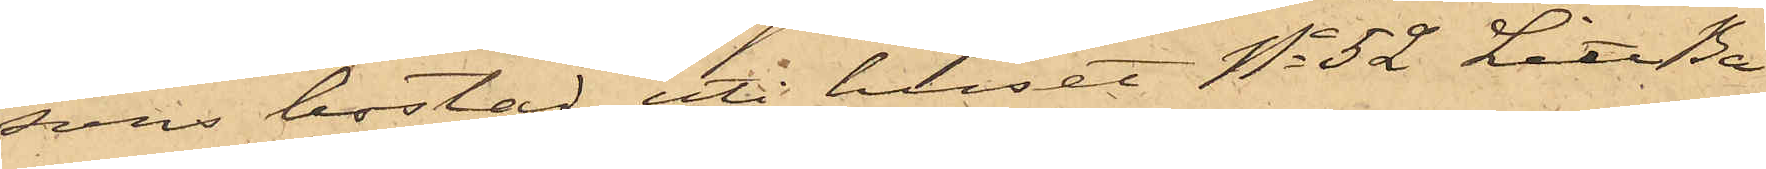sons bostad uti huset No 52 Litt Ba
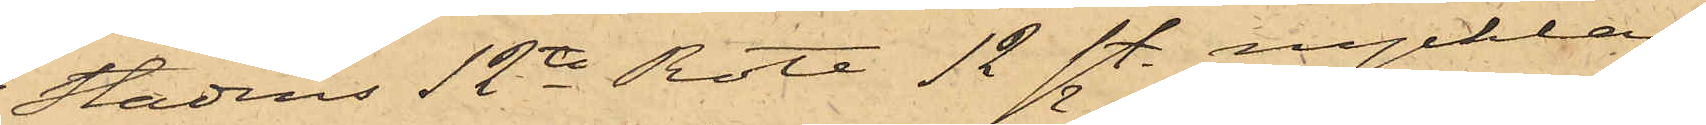i Stadens 12te Rote 12 st. nycklar,
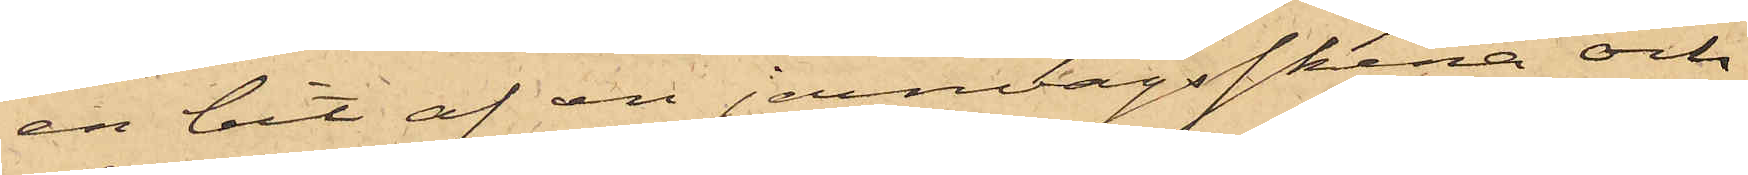en bit af en jernvägsskena och
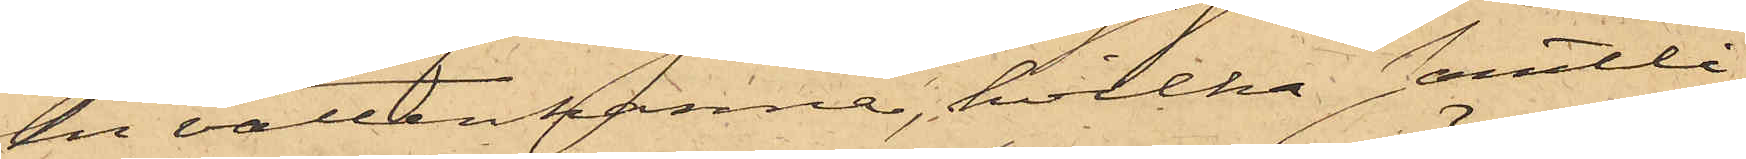en vattenkanna, hvilka samtli¬
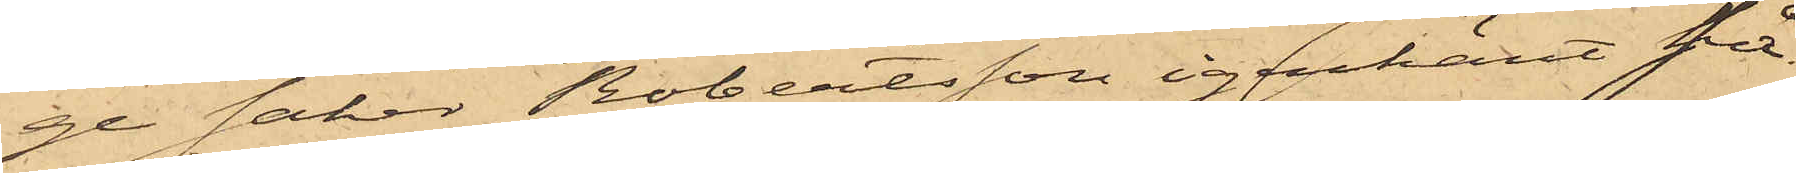ge saker Robertsson igenkänt så¬
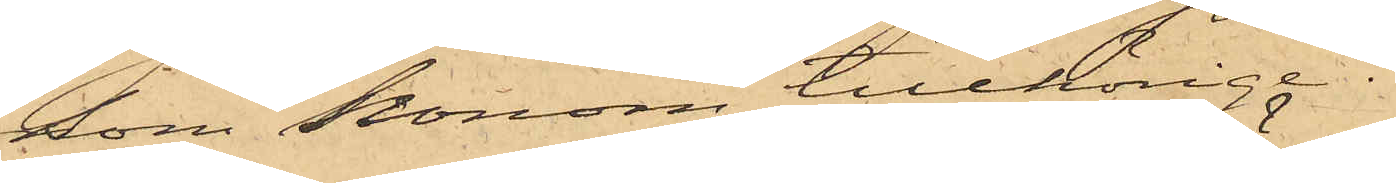som honom tillhörige.
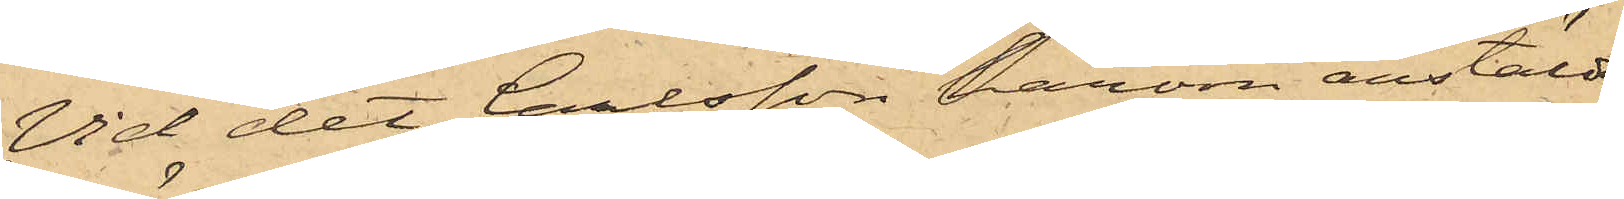Vid det Carlsson härom anstäldt
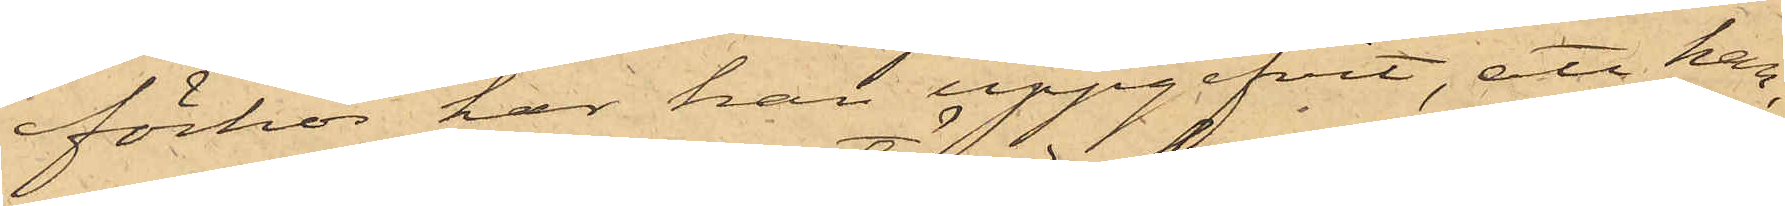förhör har han uppgifvit, att han,
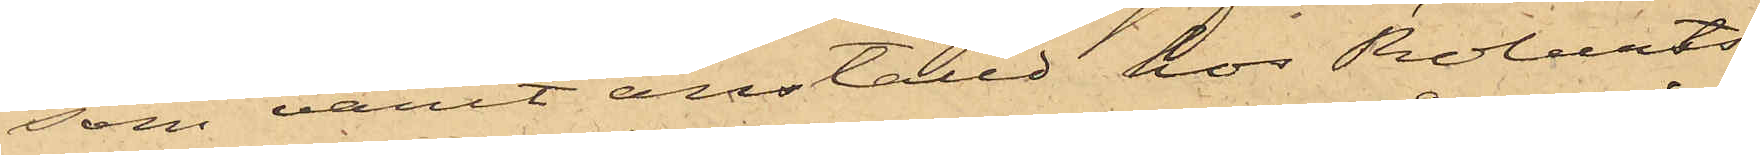som varit anställd hos Roberts¬
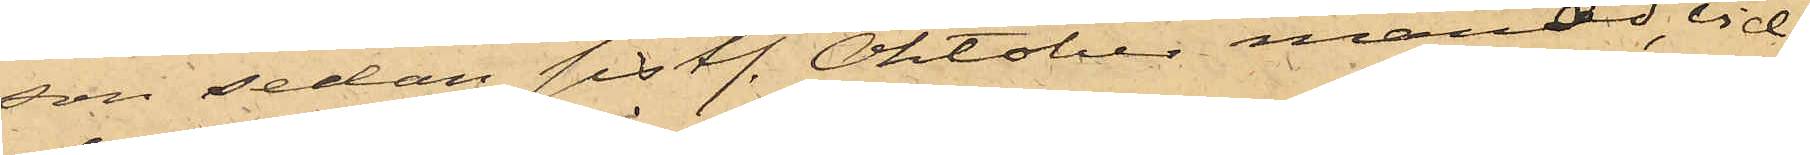son sedan sistl. Oktober månad, vid
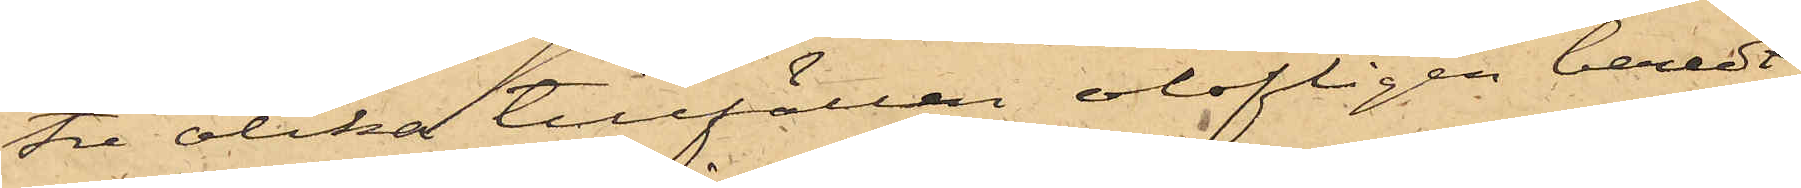tre olika tillfällen olofligen beredt
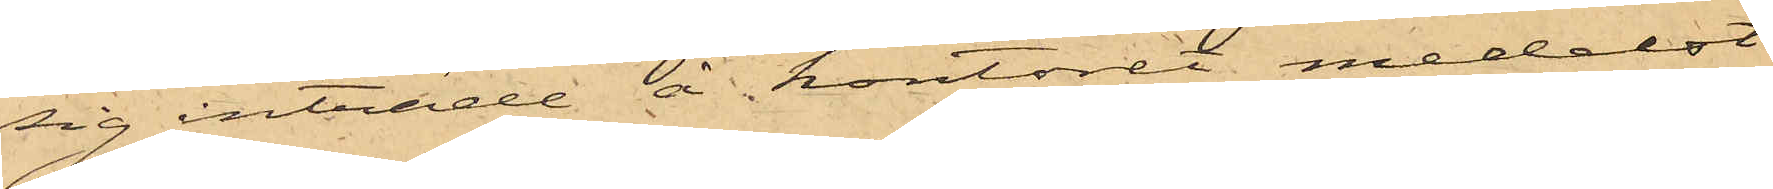sig inträde å kontoret medelst
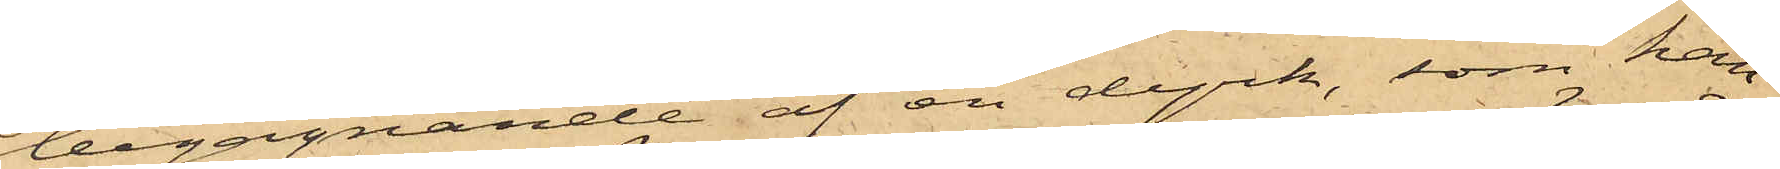begagnande af en dyrk, som han
